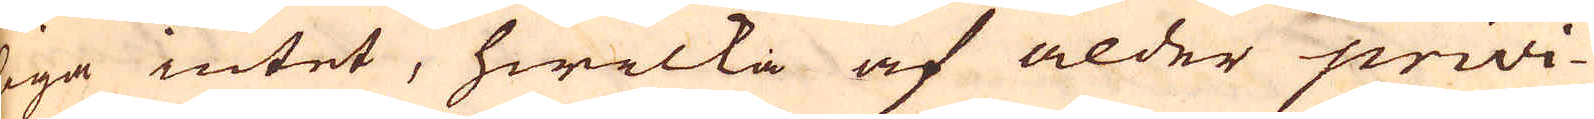liga intet, hwilka af ålder privi-
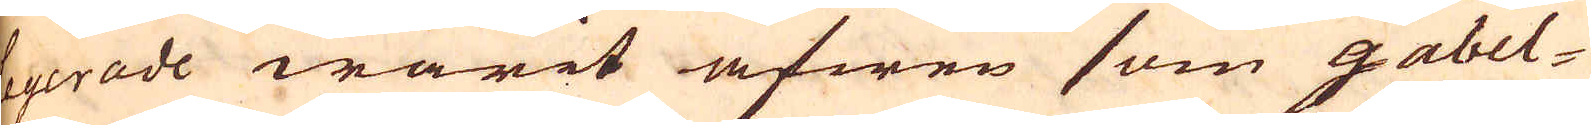ligerade warit äfwen som gabel-
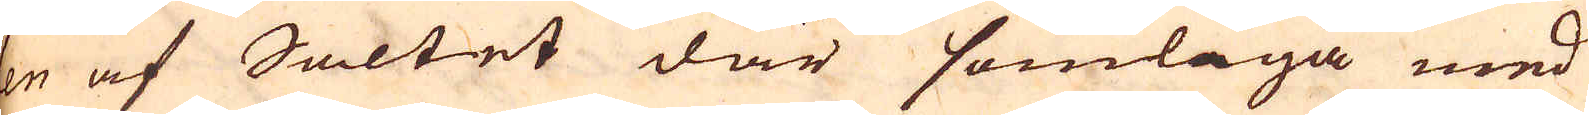len af Saltet där somliga med
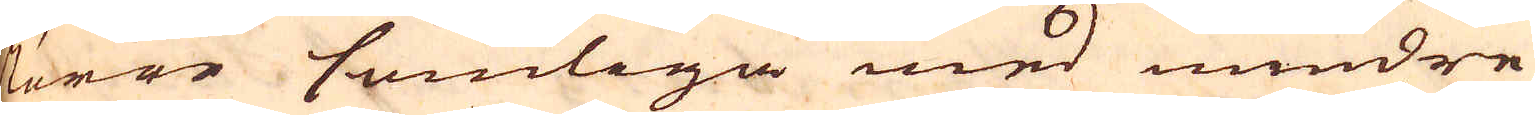större somliga med mindre
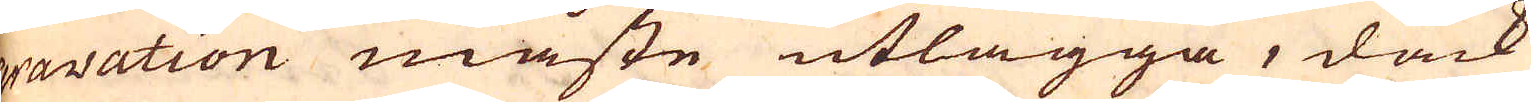gravation måste utlägga, dåck
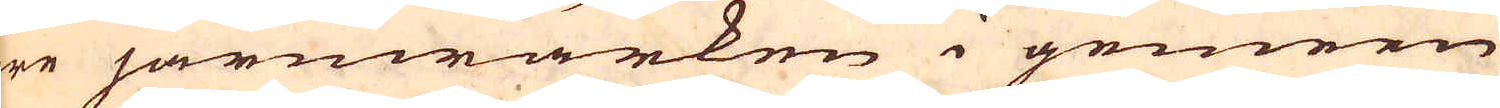äre järnwärken i gemeen
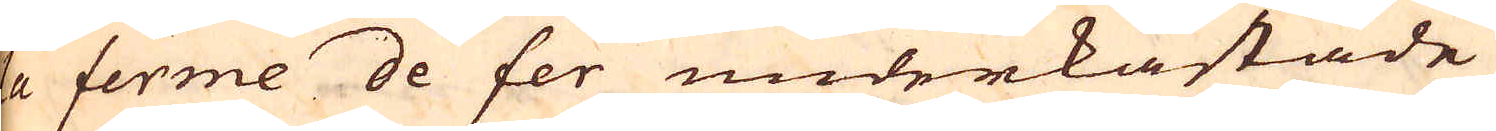la ferme de fer underkastade
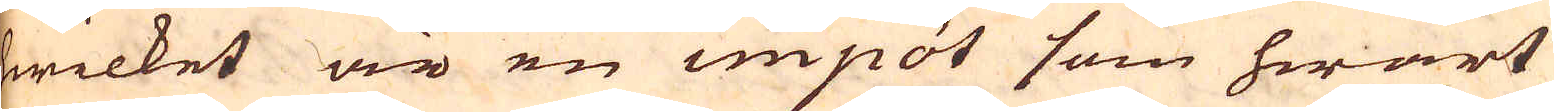hwilket är en impôt som hwart
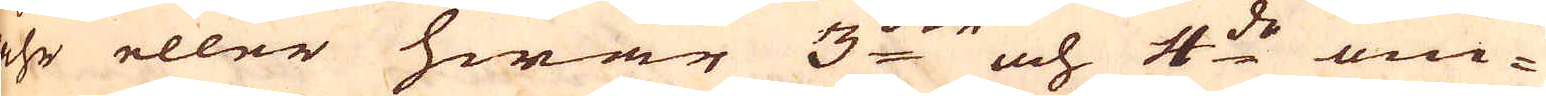åhr eller hwar 3:die och 4:de om-
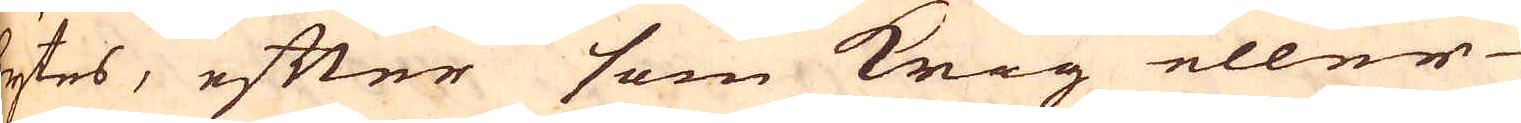bytes, efter som Krig eller
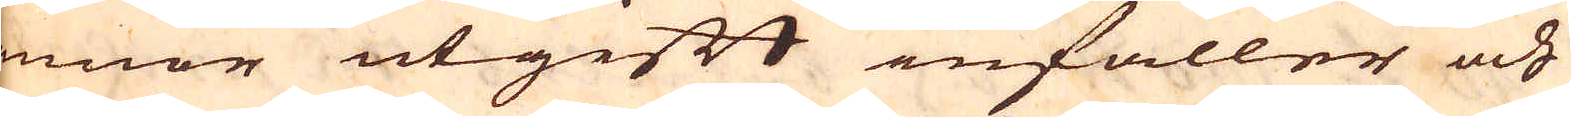annor utgift infaller och
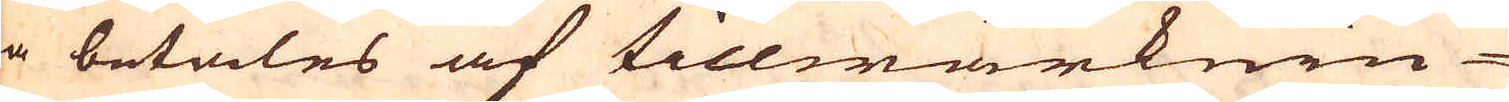då betales af tillwärknin-
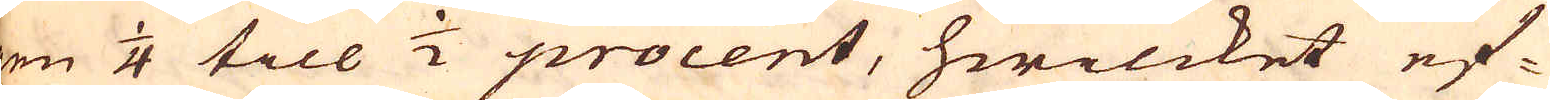gen 1/4 till 1/2 procent, hwilcket ef-
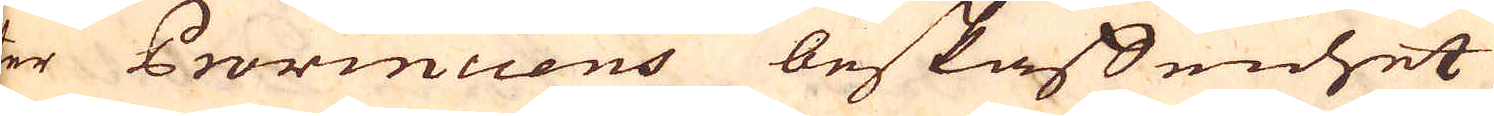ter Provinciens beskaffenhet
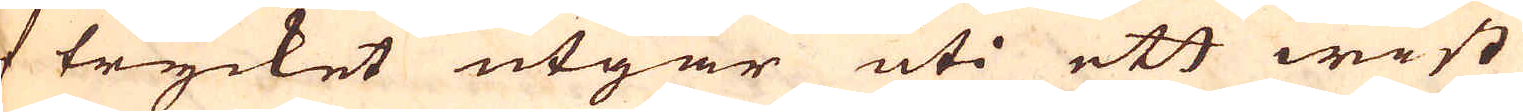af trycket utgår uti ett wist
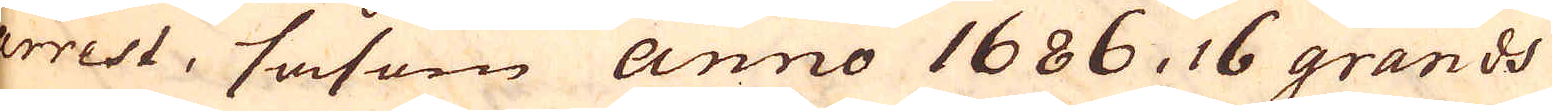arrest, såsom anno 1686, 16 grands
